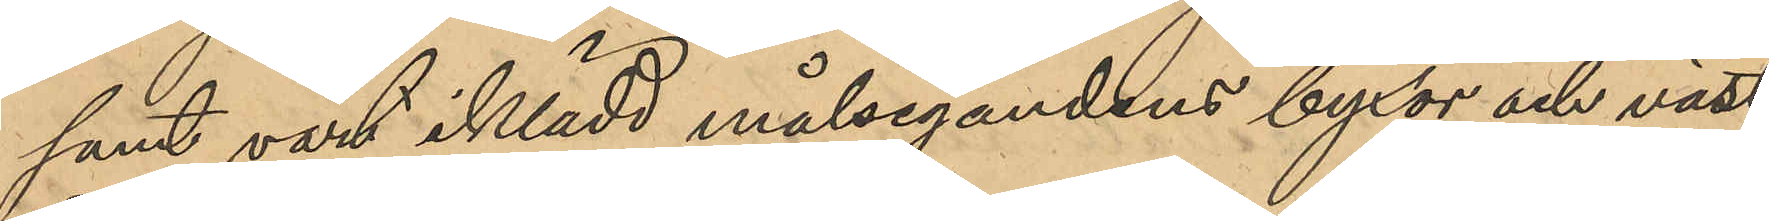samt varit ikädd målsegandens byxor och väst,
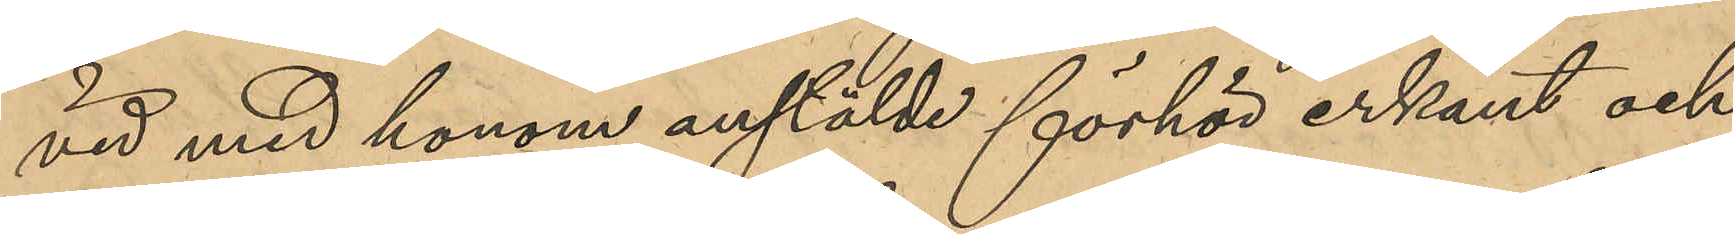vid med honom anstälde förhör erkänt och
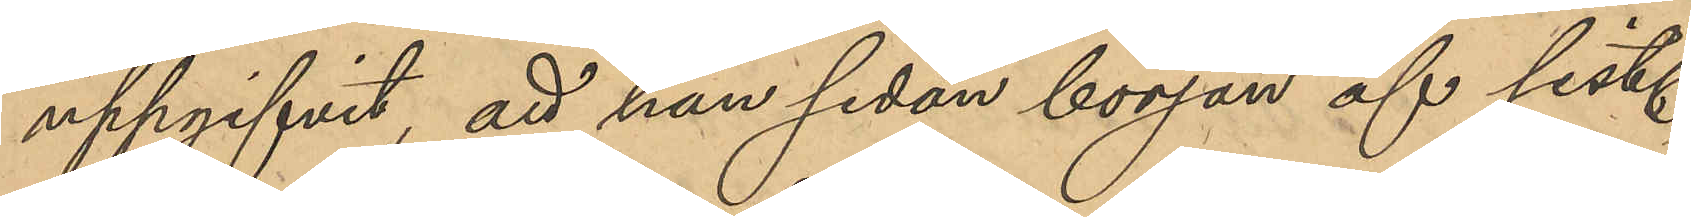uppgifvit, att han sedan början af sist.
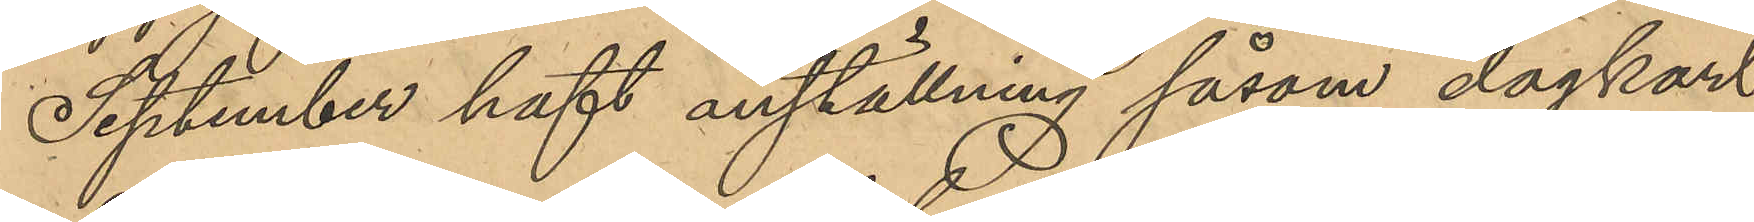September haft anställning såsom dagkarl
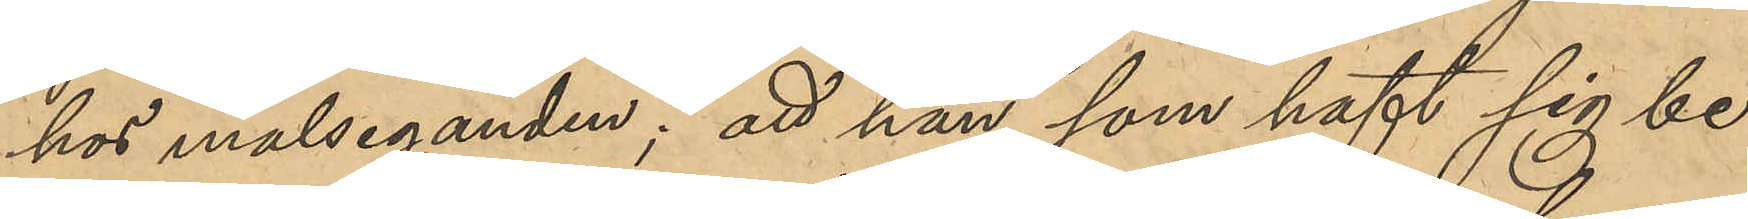hos målseganden; att han, som haft sig be¬
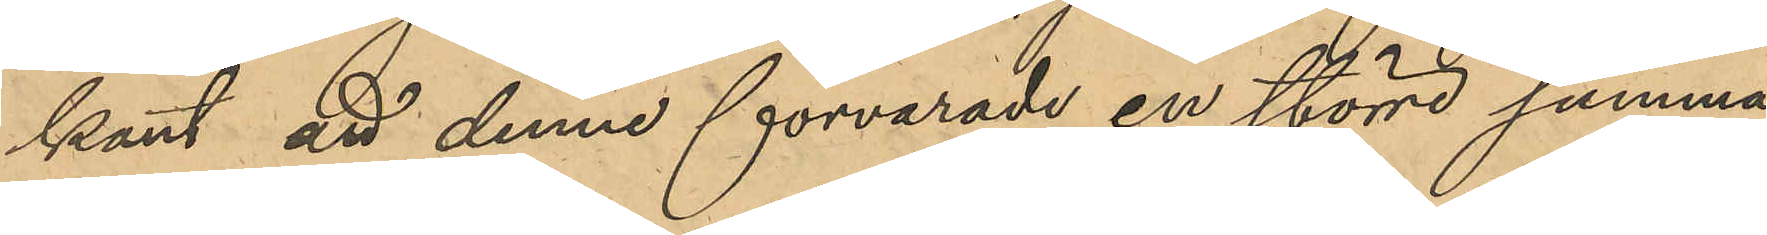kant att denne förvarades en större summa
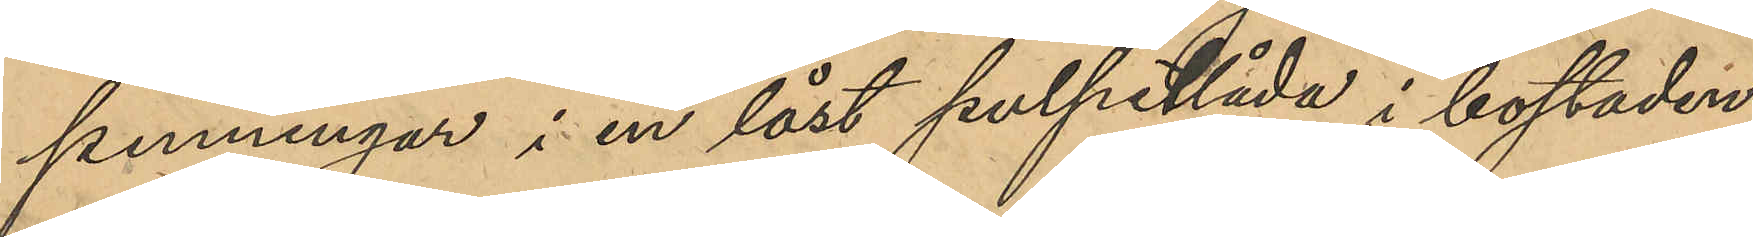penningar i en låst pulpetlåda i bostaden,
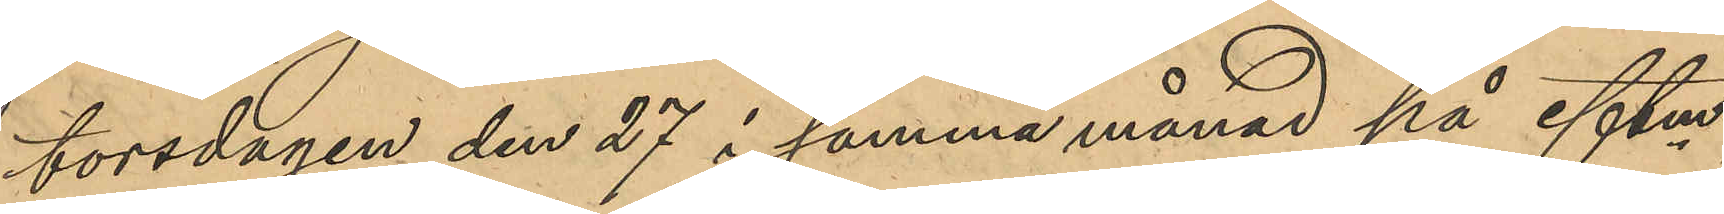torsdagen den 27 i samma månad på eftm
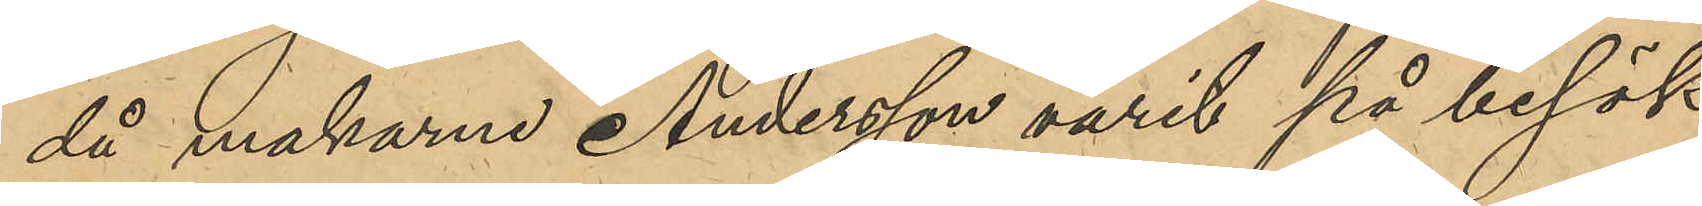då makarne Andersson varit på besök
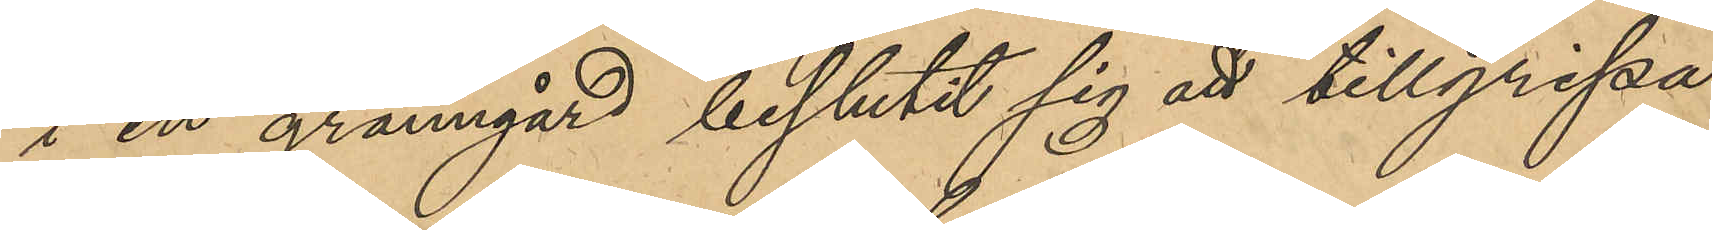i en granngård beslutit sig att tillgripa
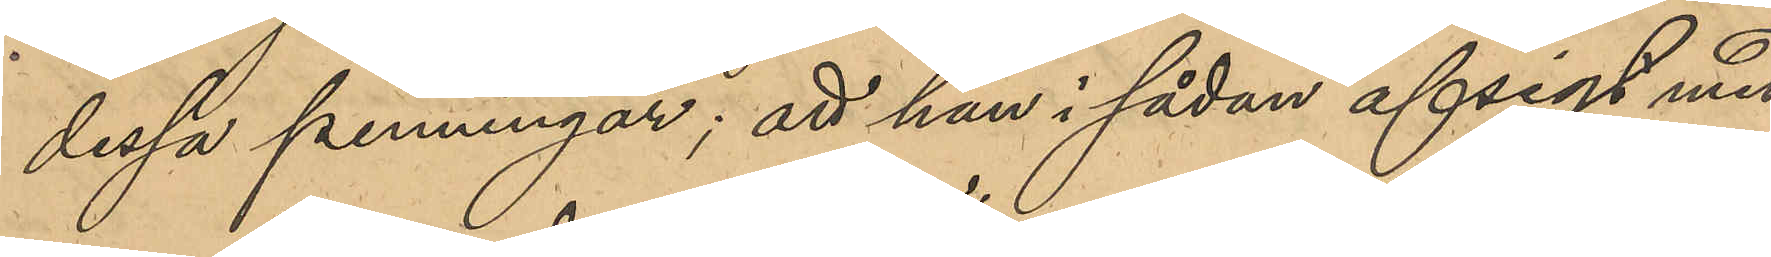dessa penningar; att han i sådan afsigt med
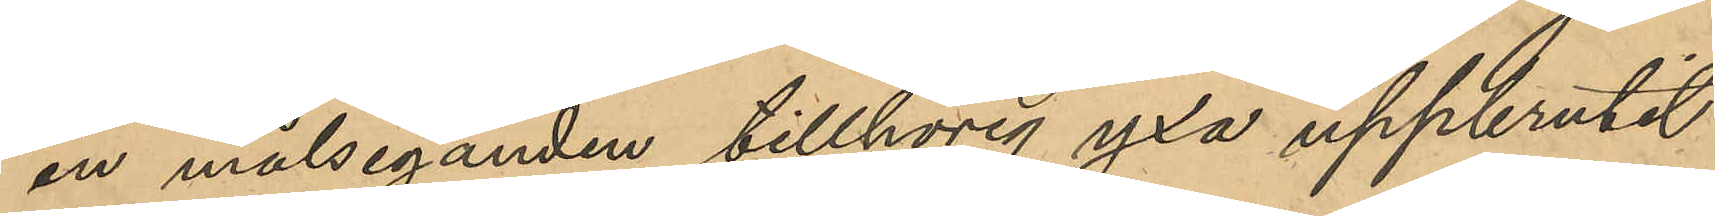en målseganden tillhörig yxa uppbrutit
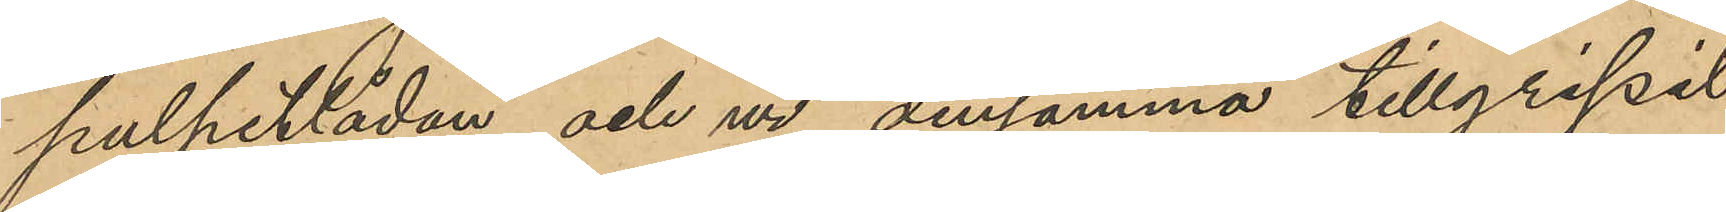pulpetlådan och ur densamma tillgripit
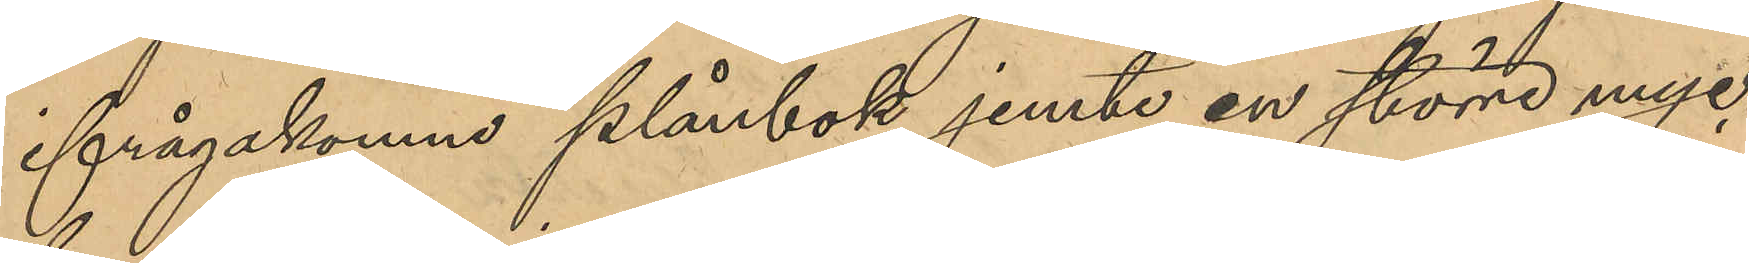ifrågakomne plånbok jemte en större myc¬
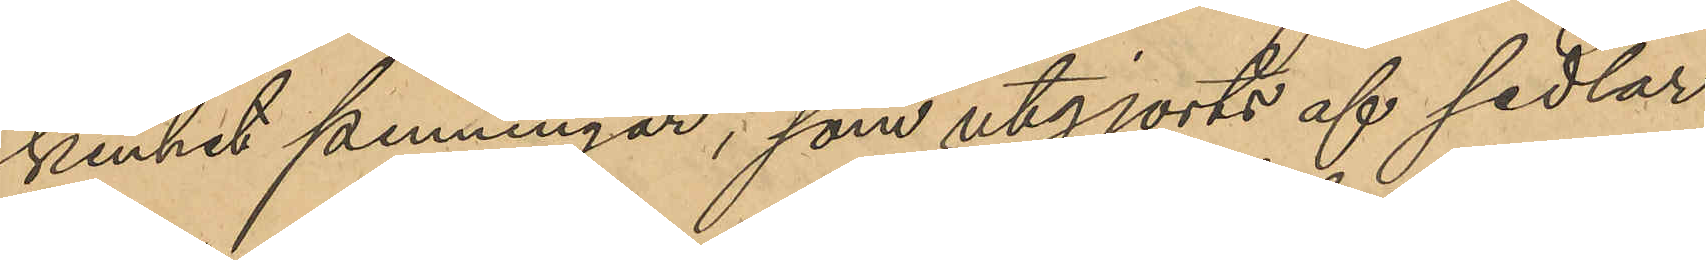kenhet penningar, som utgjorts af sedlar
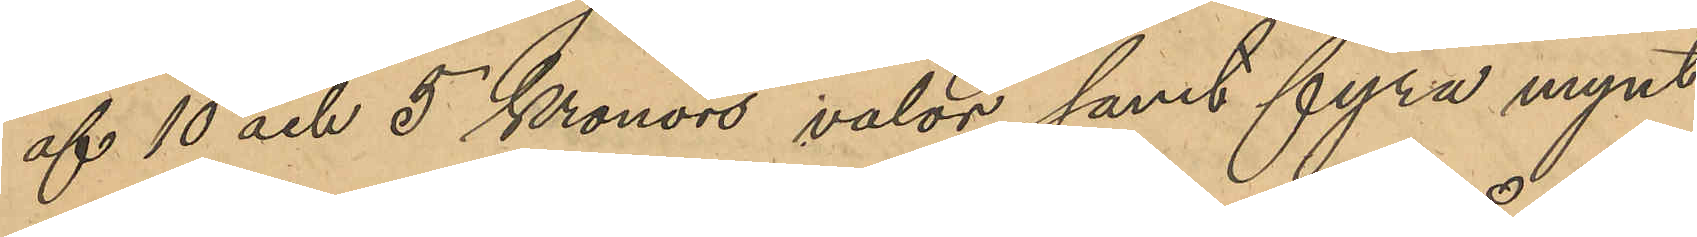af 10 och 5 Kronors valör samt fyra mynt
